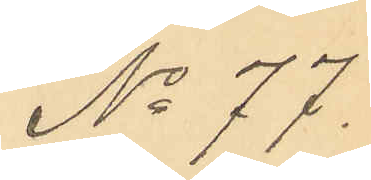No 77.
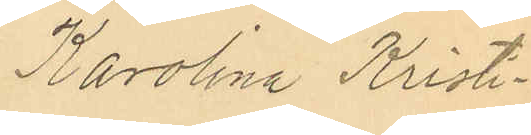Karolina Kristi¬
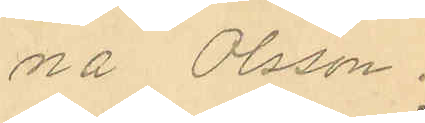na Olsson.
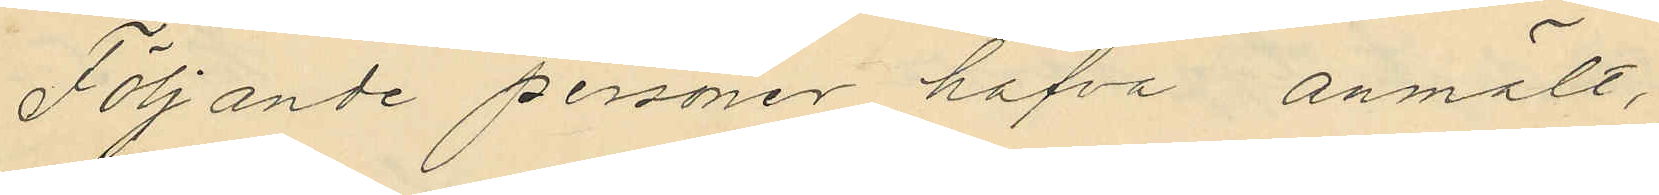Följande personer hafva anmält,
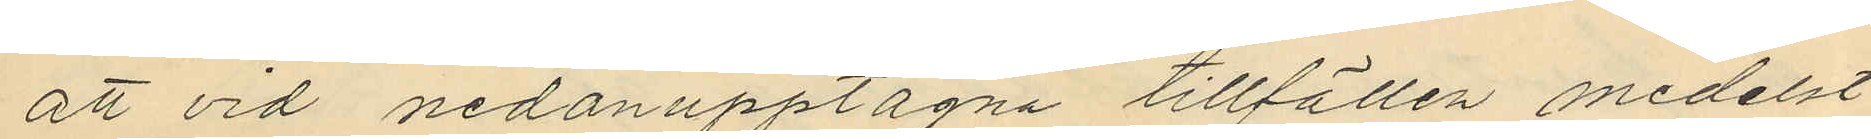att vid nedanupptagna tillfällen medelst
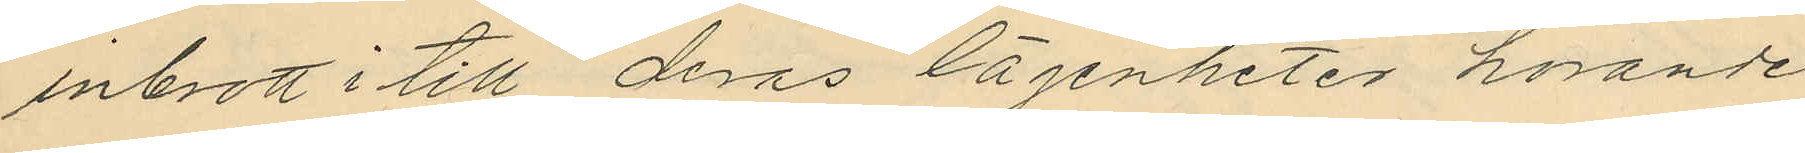inbrott i till deras lägenheter hörande
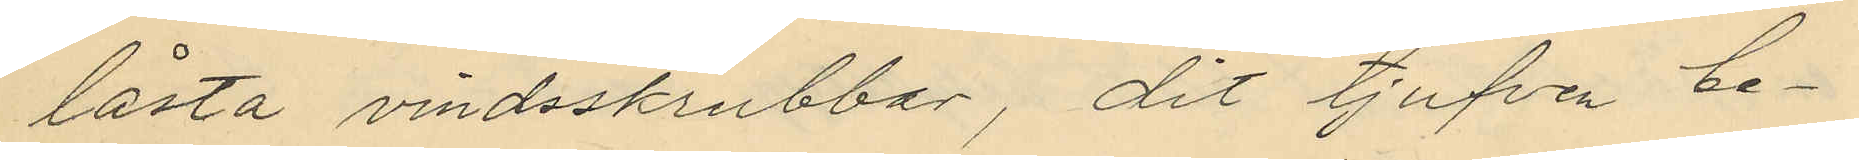låsta vindsskrubbar, dit tjufven be¬
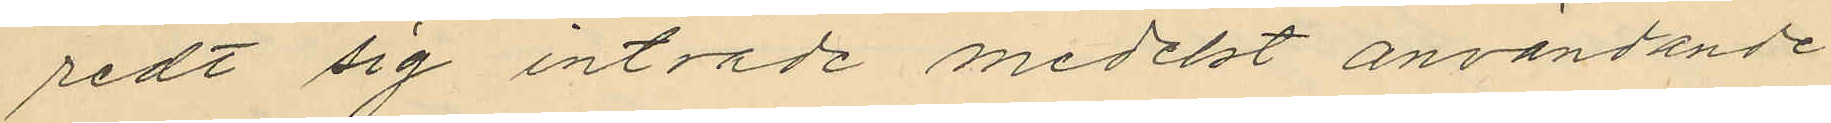redt sig inträde medelst användande
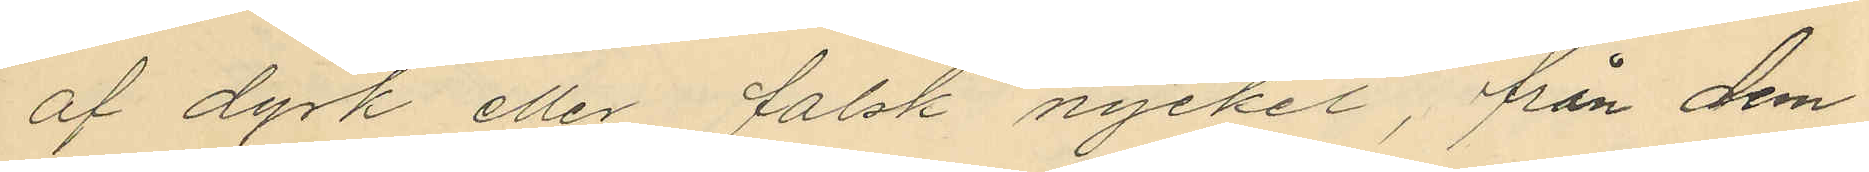af dyrk eller falsk nyckel, från dem
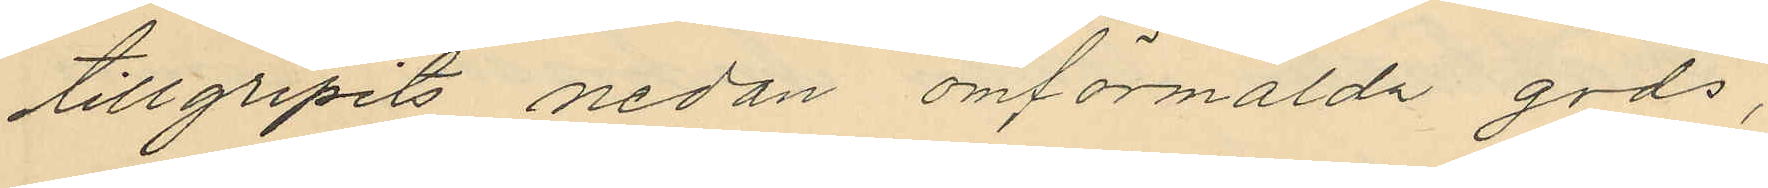tillgripits nedan omförmälda gods,
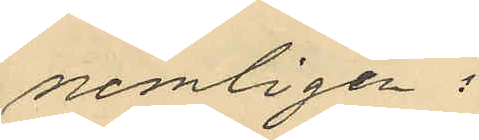nemligen:
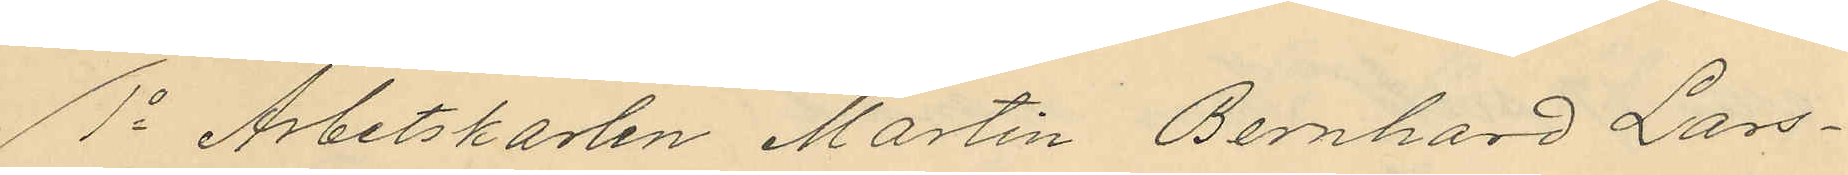1o Arbetskarlen Martin Bernhard Lars¬
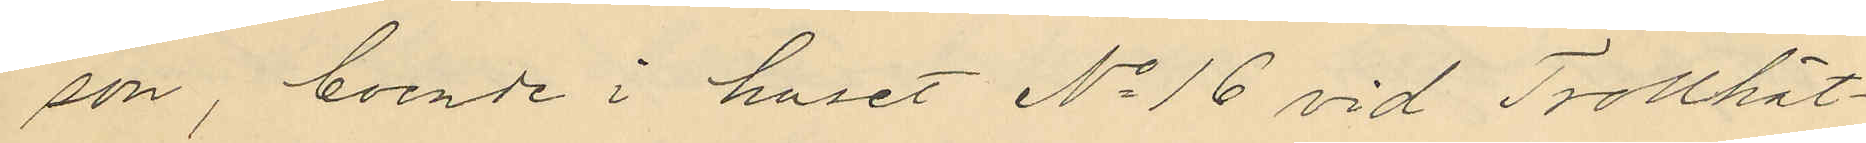son, boende i huset No 16 vid Trollhät¬
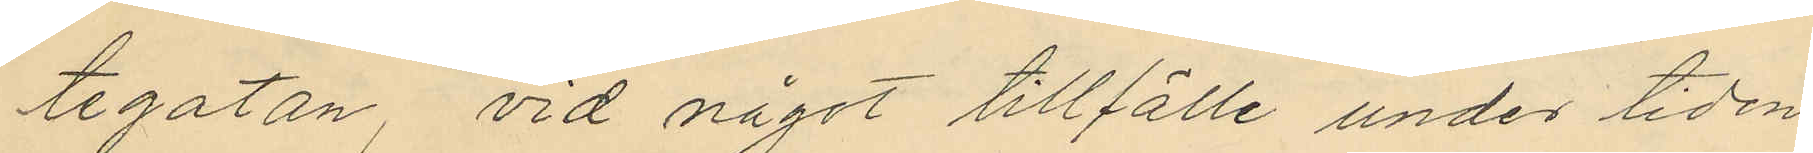tegatan, vid något tillfälle under tiden
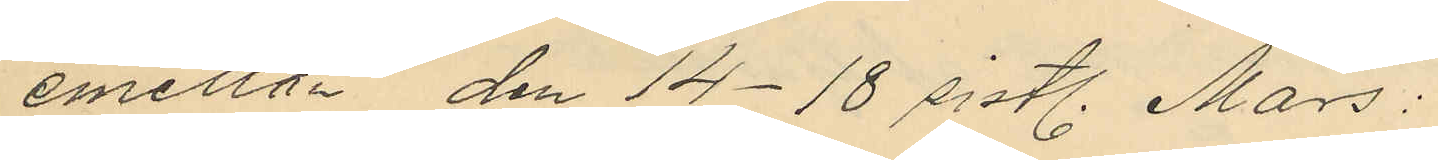emellan den 14-18 sistl. Mars:
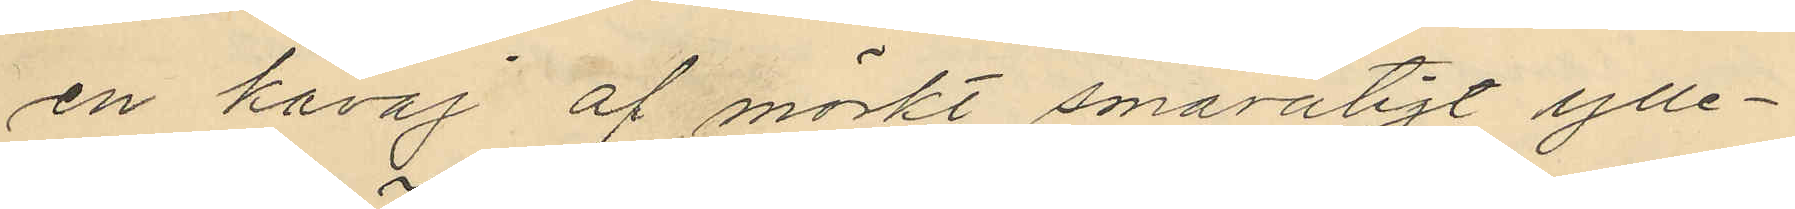en kavaj af mörkt smårutigt ylle¬
